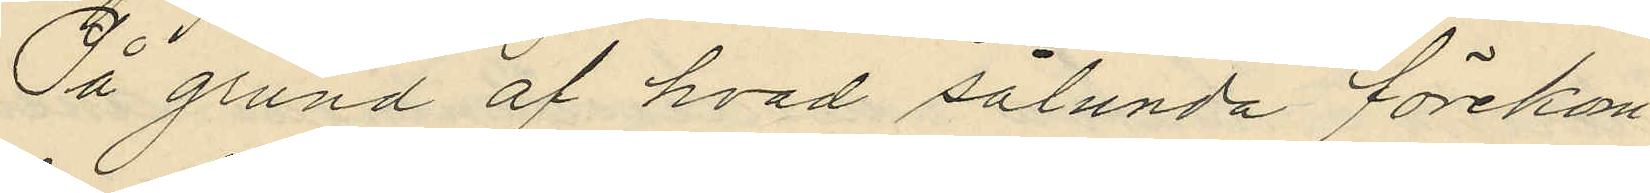På grund af hvad sålunda förekom¬
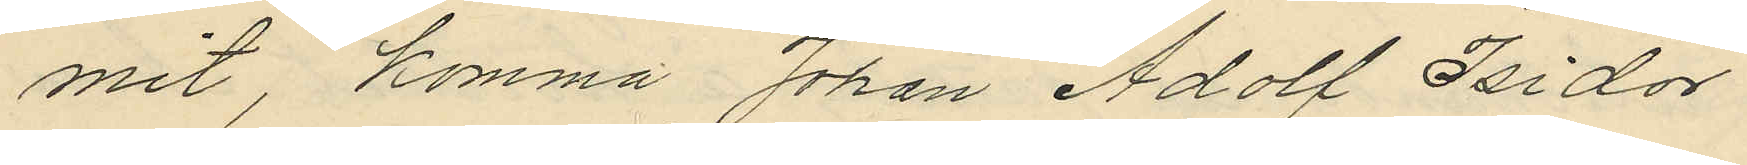mit, komma Johan Adolf Isidor
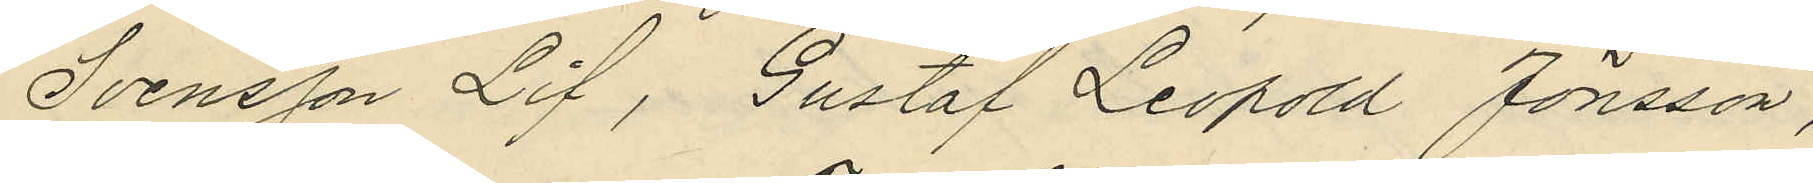Svensson Lif, Gustaf Leopold Jönsson,
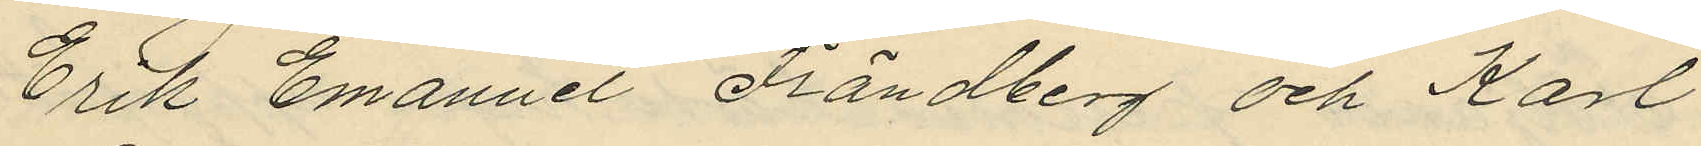Erik Emanuel Frändberg och Karl
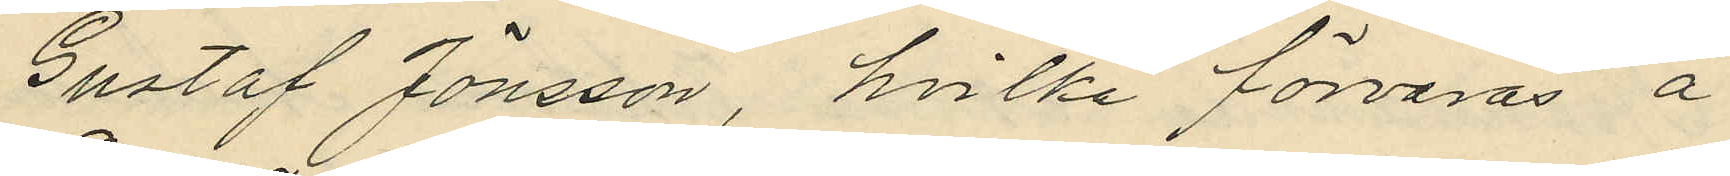Gustaf Jönsson, hvilka förvaras å
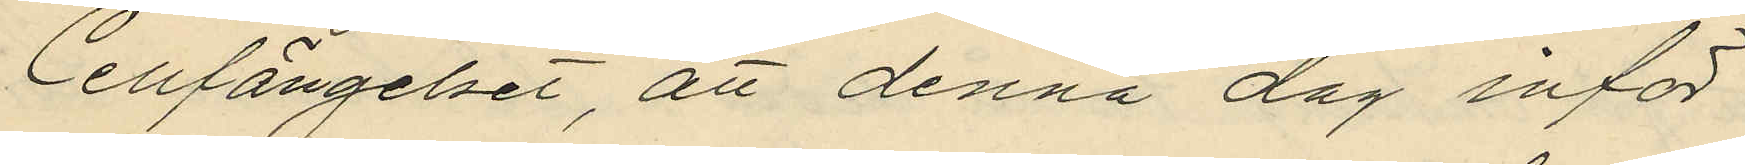Cellfängelset, att denna dag inför
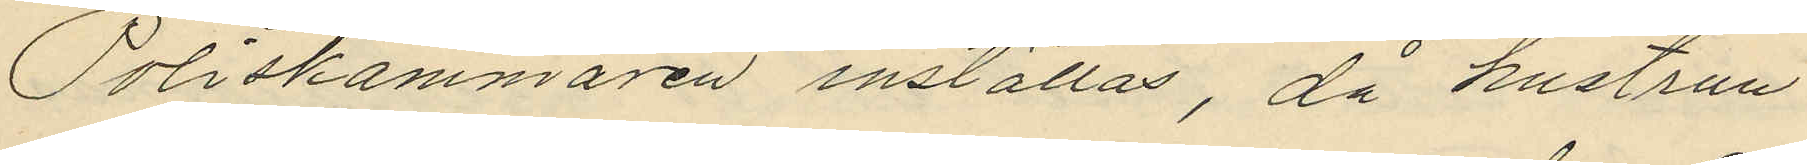Poliskammaren inställas, då hustrun
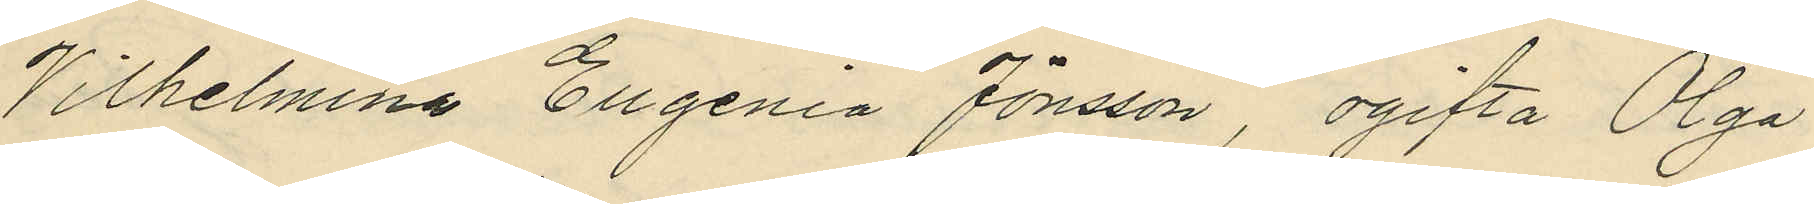Wilhelmina Eugenia Jönsson, ogifta Olga
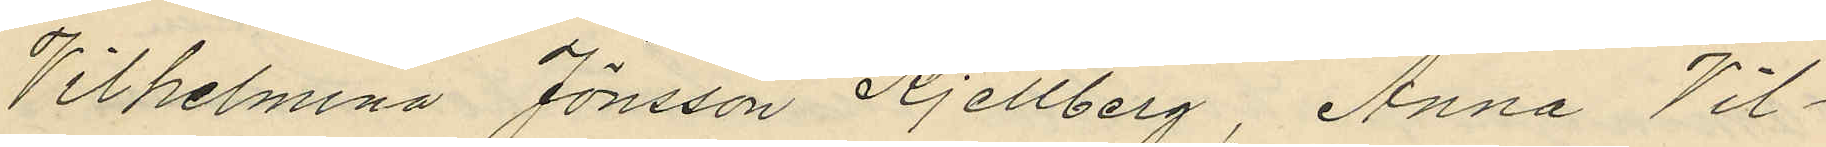Wilhelmina Jönsson Kjellberg, Anna Vil¬
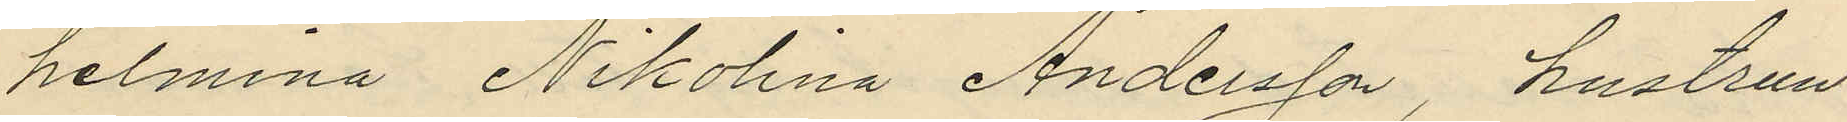helmina Nikolina Andersson, hustrun
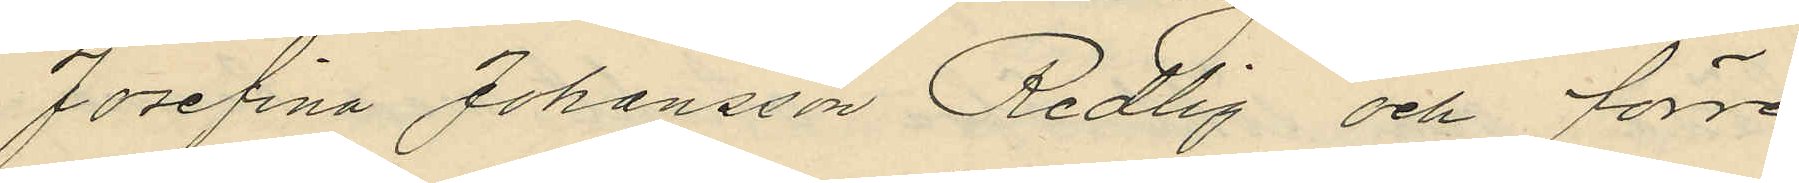Josefina Johansson Redlig och förre
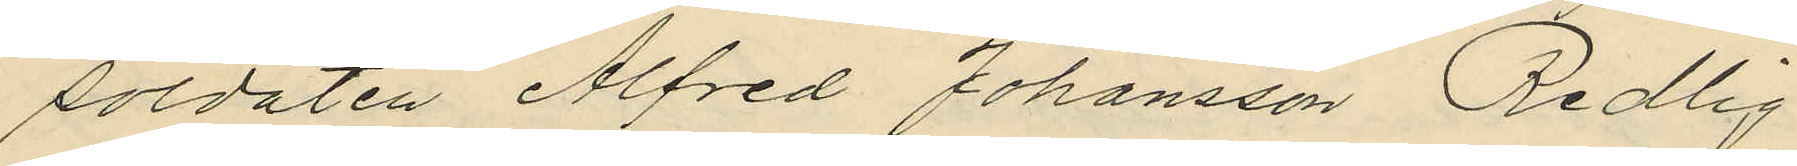soldaten Alfred Johansson Redlig
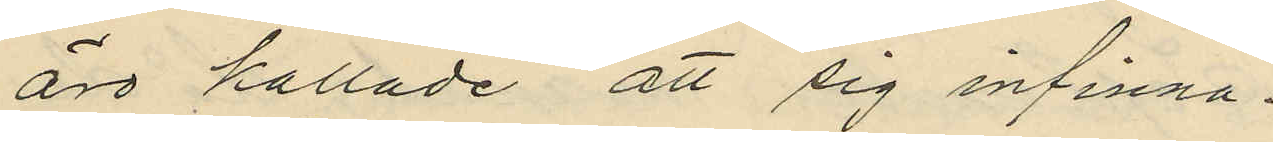äro kallade att sig infinna.
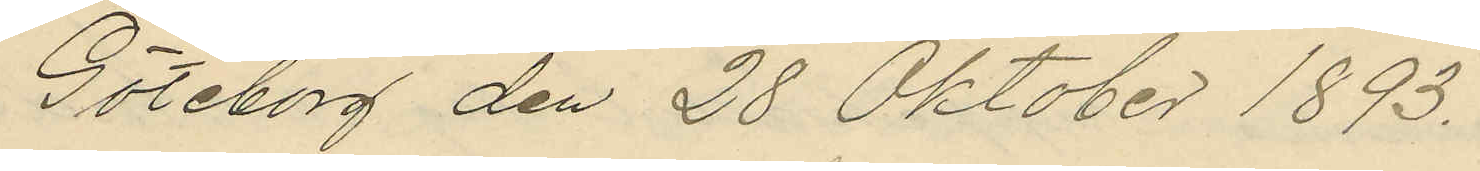Göteborg den 28 Oktober 1893.
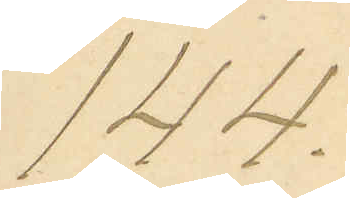144.
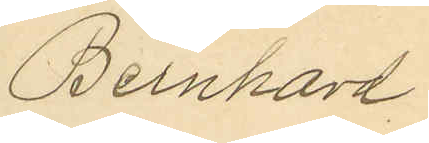Bernhard
